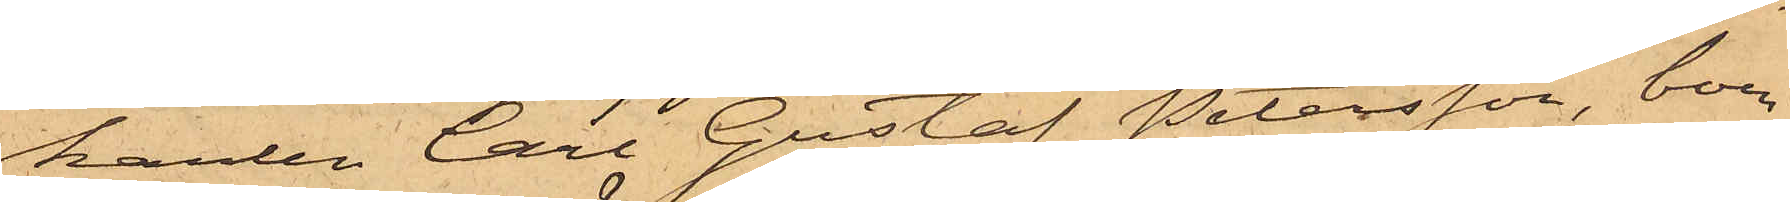karlen Carl Gustaf Petersson, boen¬
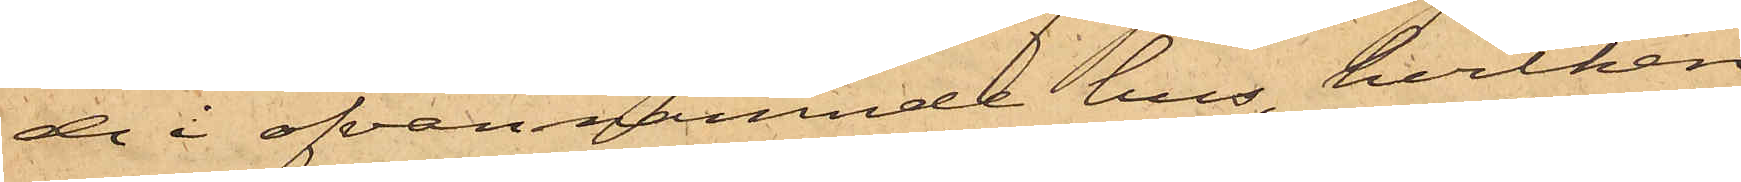de i ofvannämnde hus, hvilken
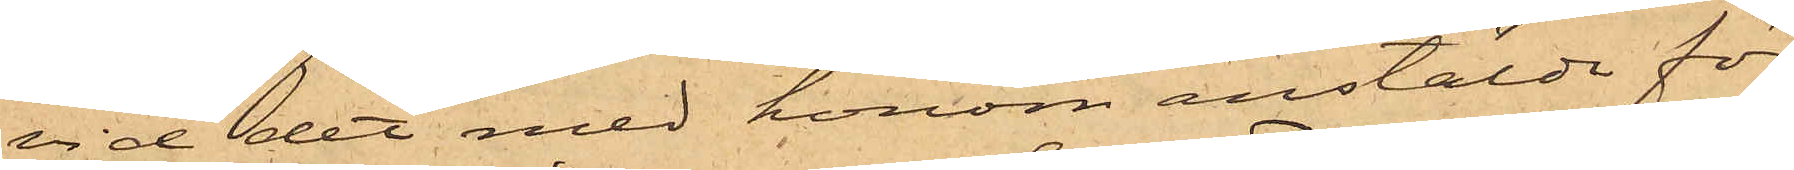vid det med honom anstälda för¬
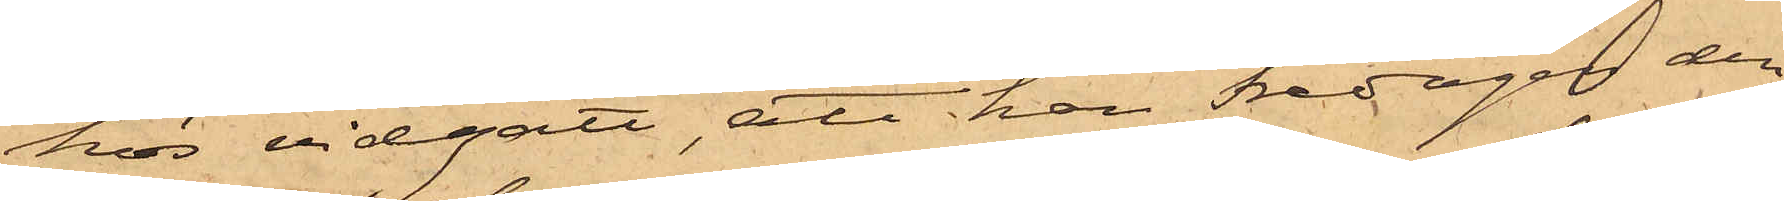hör vidgått, att han Fredagen den
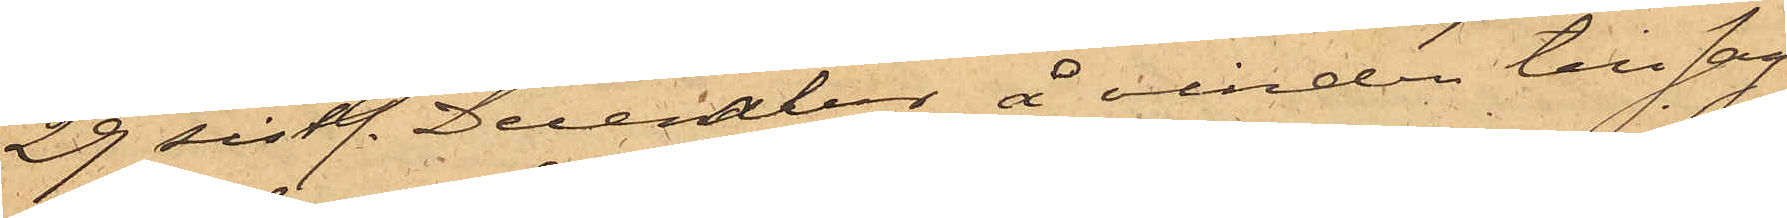29 sistl. December, å vinden till sag¬
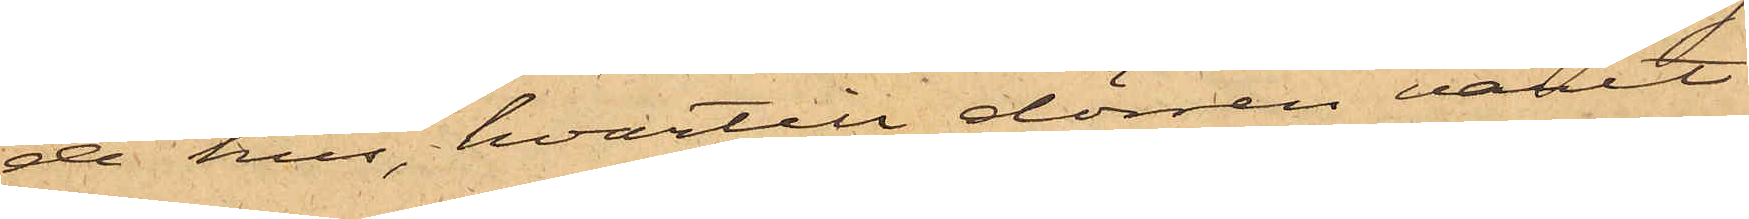de hus, hvartill dörren varit
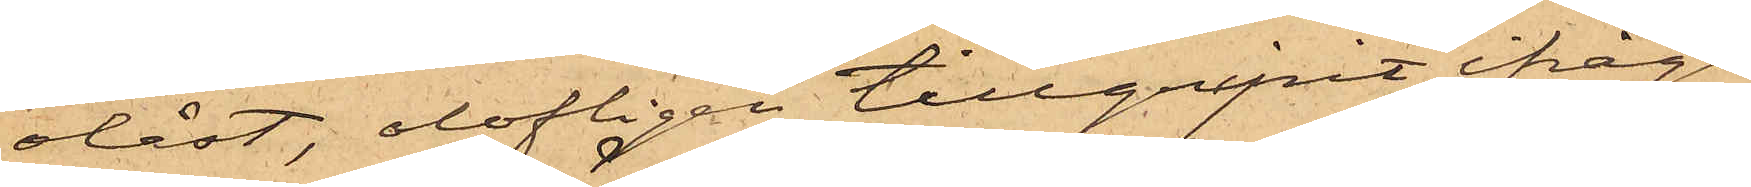olåst, olofligen tillgripit ifråga¬
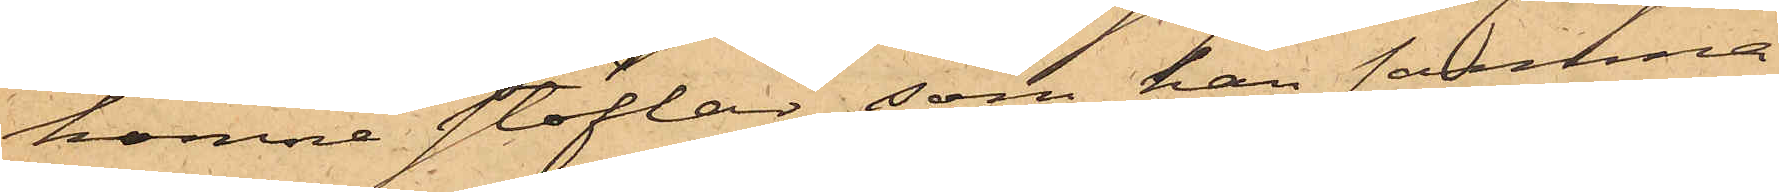komne stöflar, som han samma
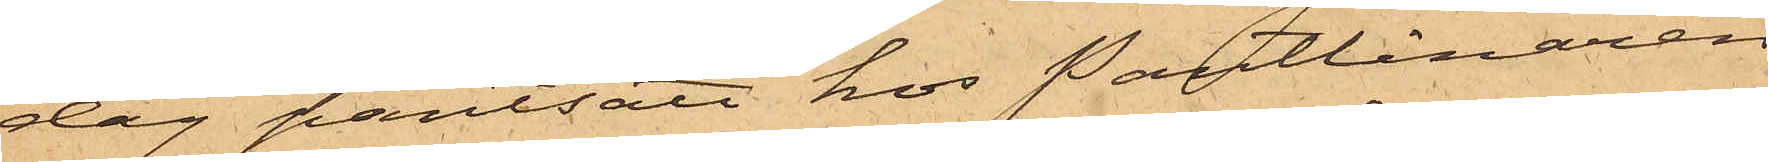dag pantsatt hos Pantlånaren
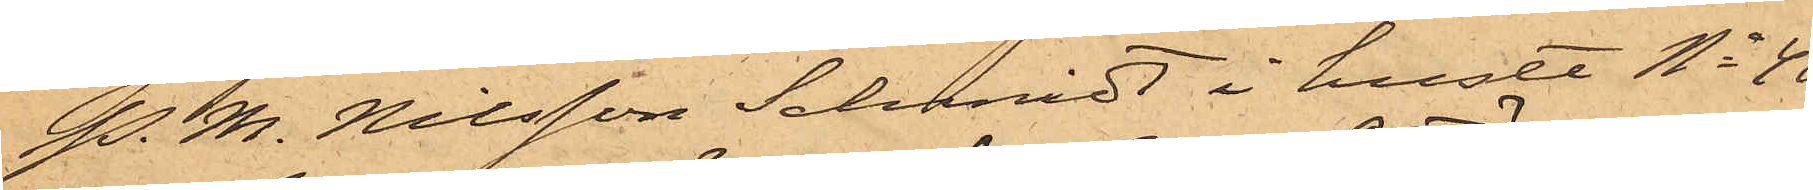P. M. Nilsson Schmidt i huset No 40
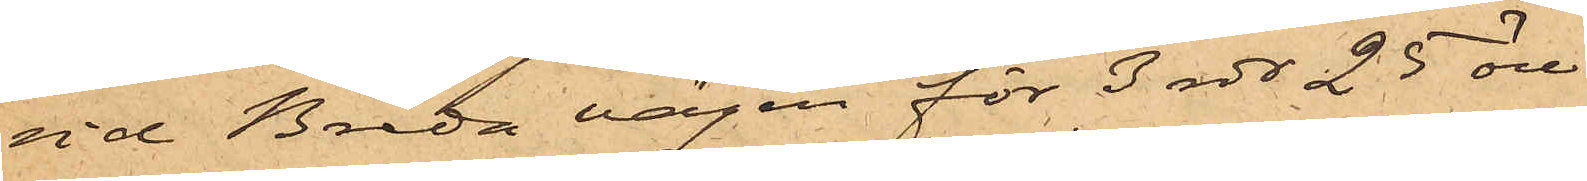vid Breda vägen för 3 rdr 25 öre.
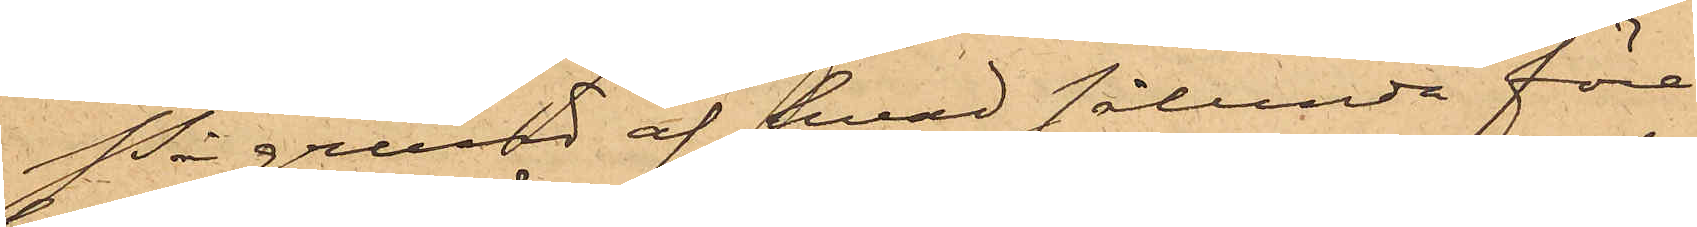På grund af hvad sålunda före¬
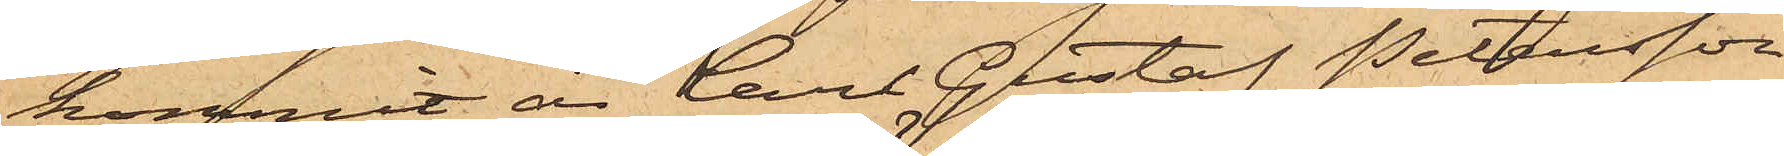kommit, är Carl Gustaf Petersson
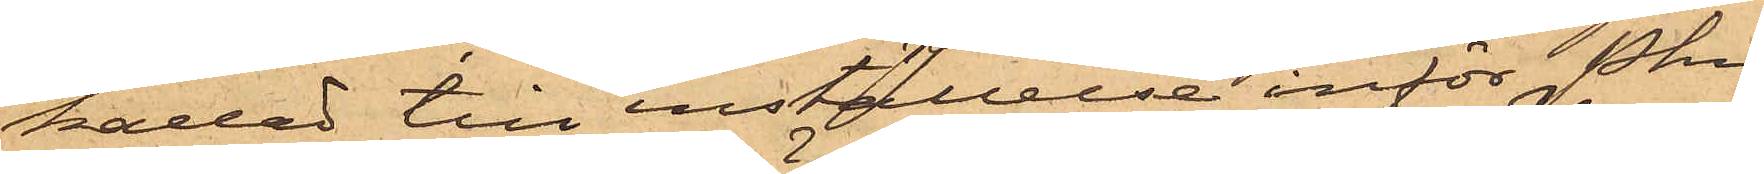kallad till inställelse inför Pkn
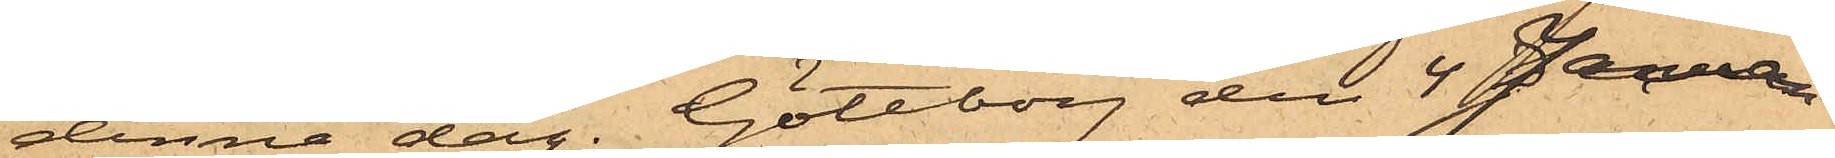denna dag. Göteborg den 4 Januari
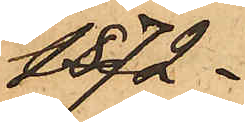1872.
